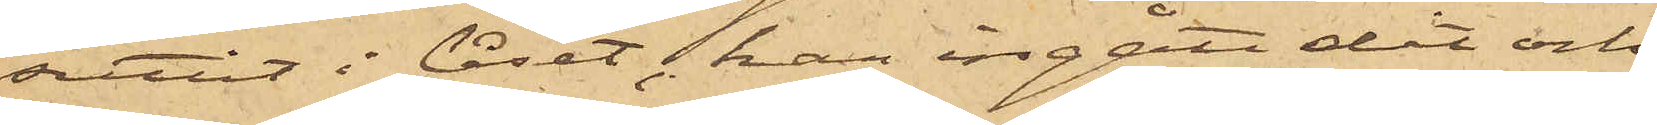suttit i låset, han ingått dit och
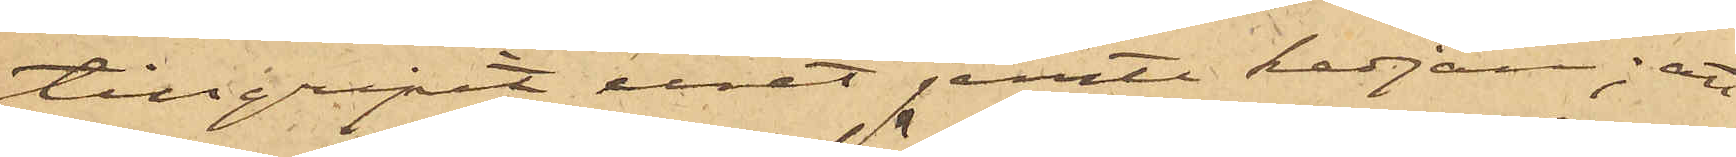tillgripit uret jemte kedjan; att
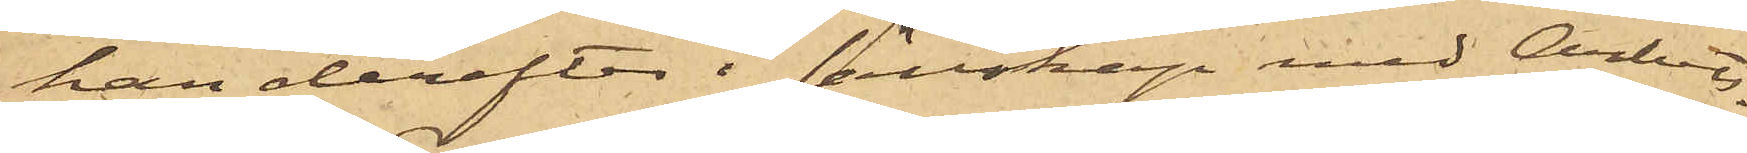han derefter i sällskap med Arbets¬
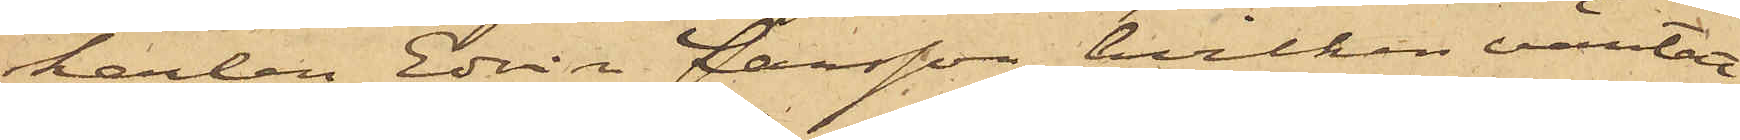karlen Edvin Larsson, hvilken väntat
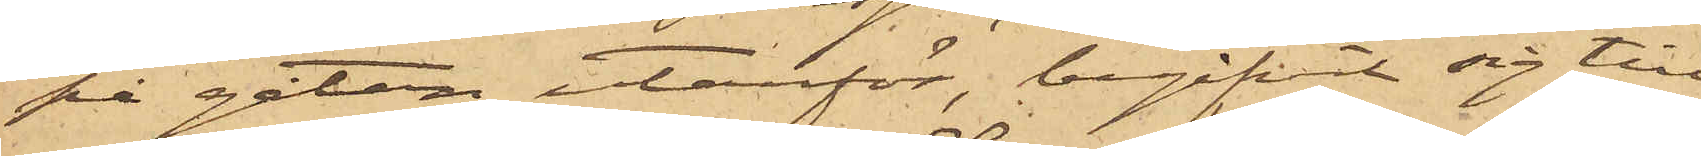på gatan utanför, begifvit sig till
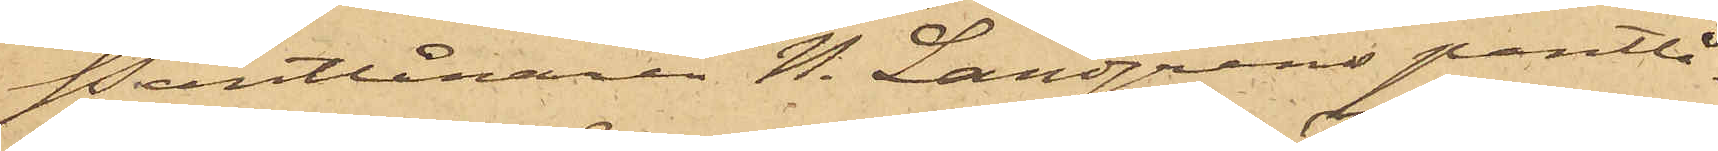Pantlånaren N. Landgrens pantlå¬
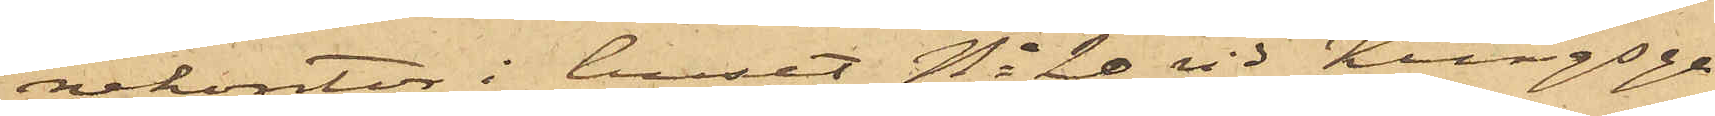nekontor i huset No 20 vid Kungsga¬
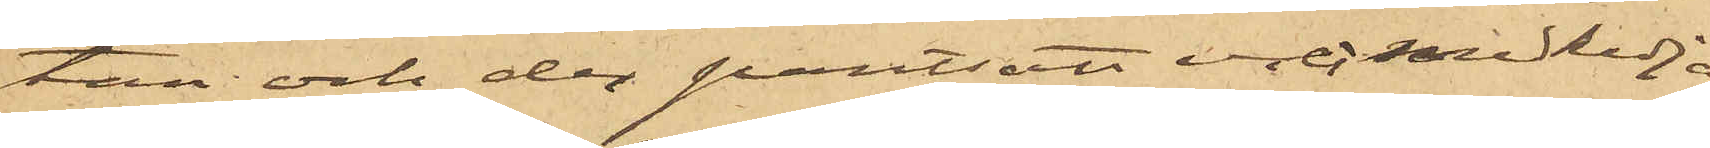tan och der pantsatt uret med kedja
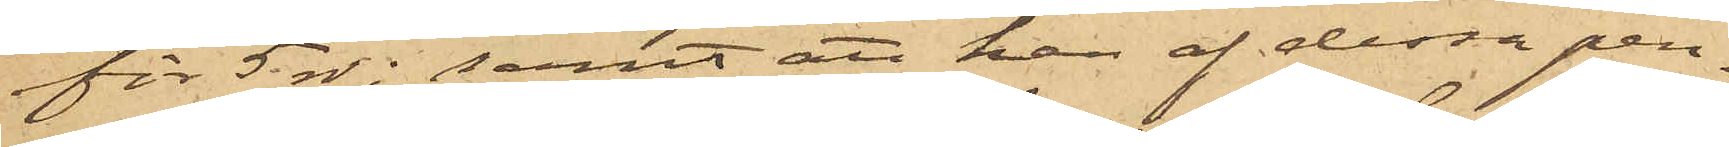för 5 rdr; samt att han af dessa pen¬
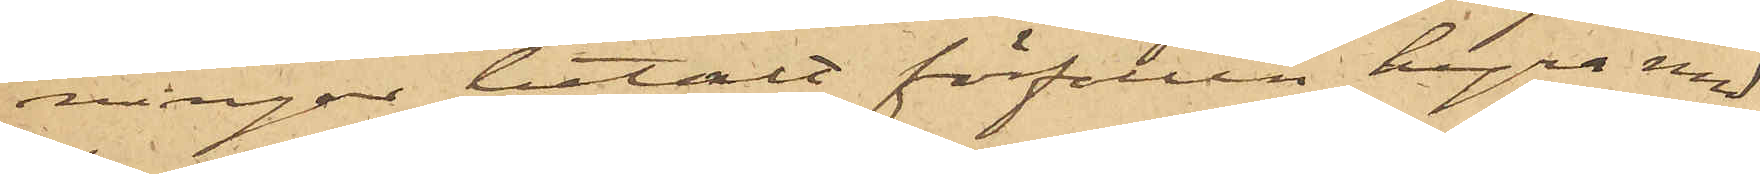ningar betalt förfallen hyra med
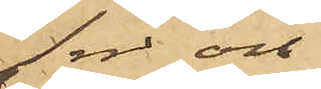1 rdr och
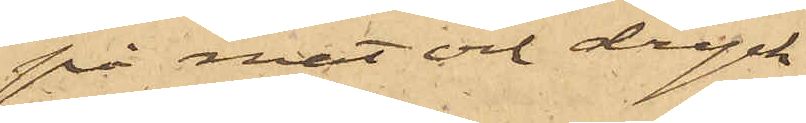på mat och dryck
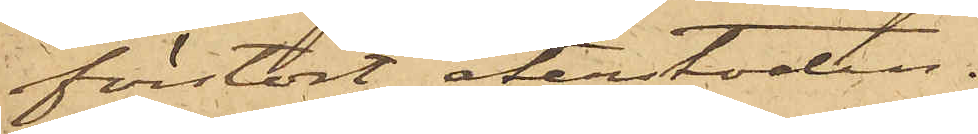förstört återstoden.
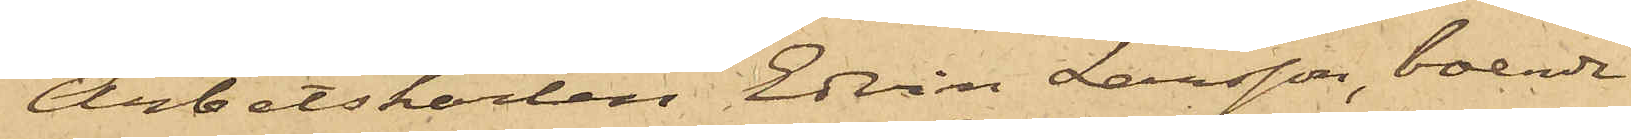Arbetskarlen Edvin Larsson, boende
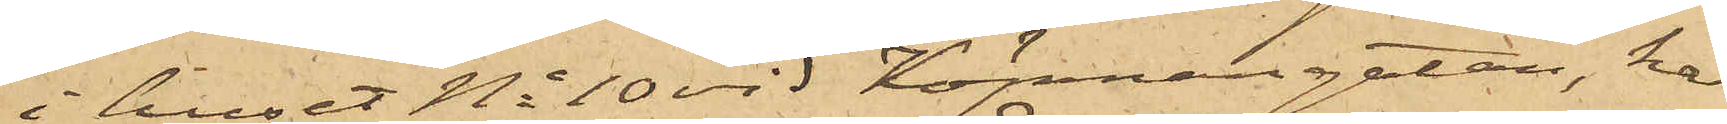i huset No 10 vid Köpmansgatan, har
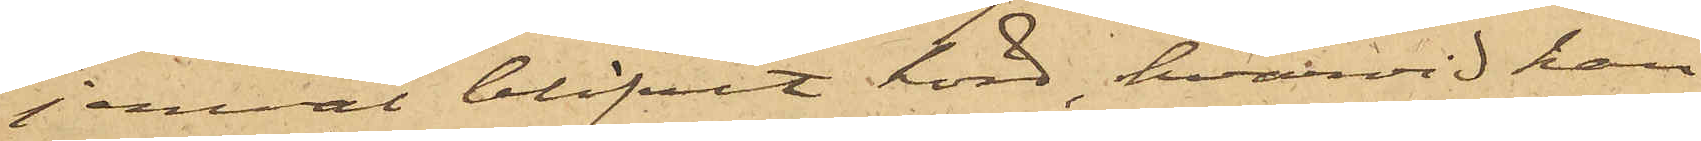jemväl blifvit hörd, hvarvid han
